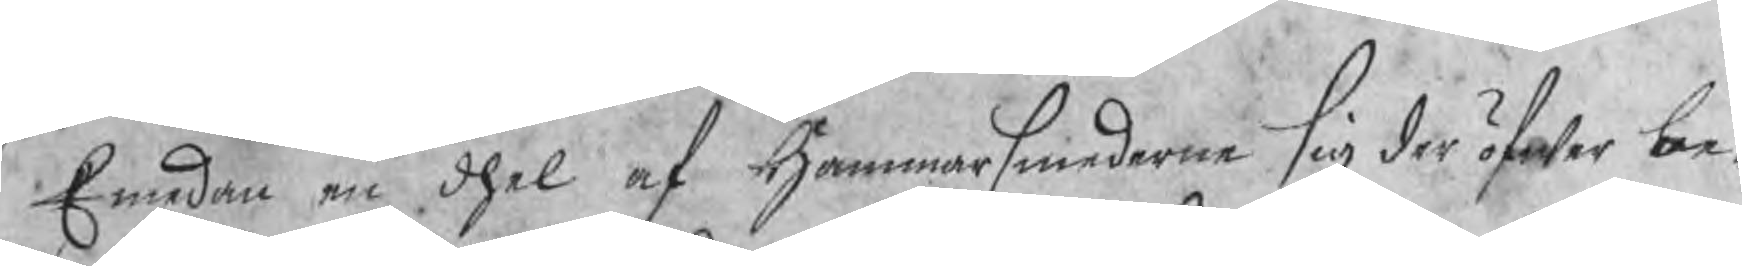Emedan en dhel af Hammarsmederne sig der öfwer be¬
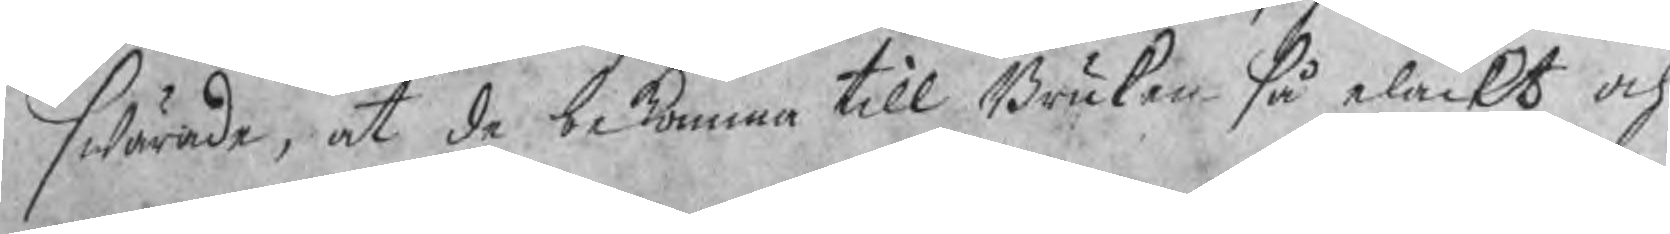swärade, at de bekomma till Bruken så elackt och
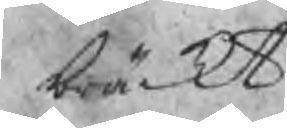bräckt
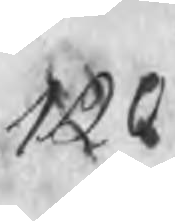120
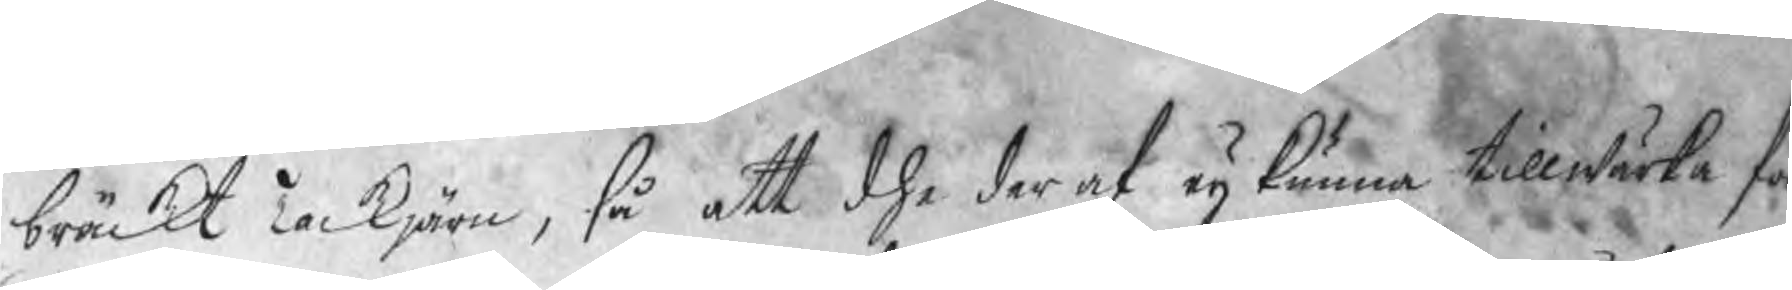bräckt Tackjärn, så att dhe der af eij kunna tillwärka för
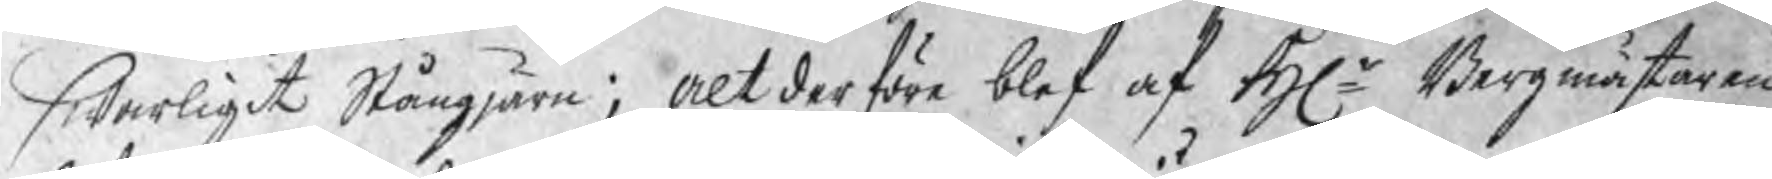swarligit Stångjärn; Altderföre blef af Hr Bergmästaren
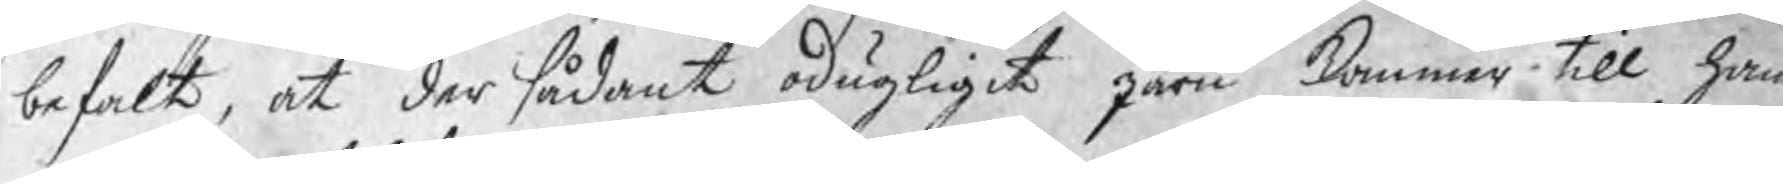befalt, at der sådant odugligit järn kommer till ham
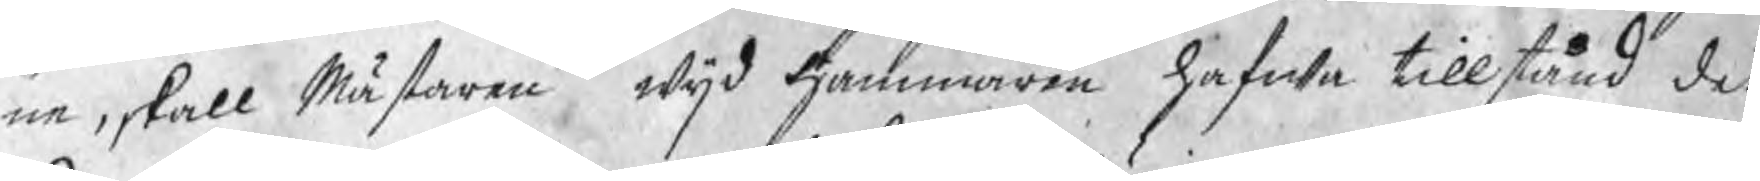ne, skall Mästaren wijd Hammaren hafwa tillstånd det
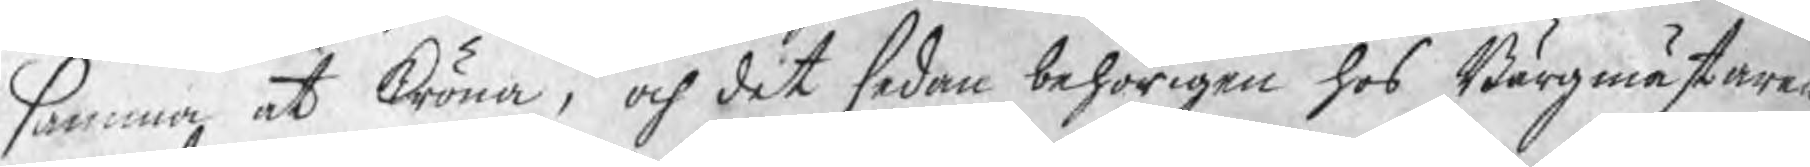samma at kröna, och dit sedan behörigen hos Bärgmästaren
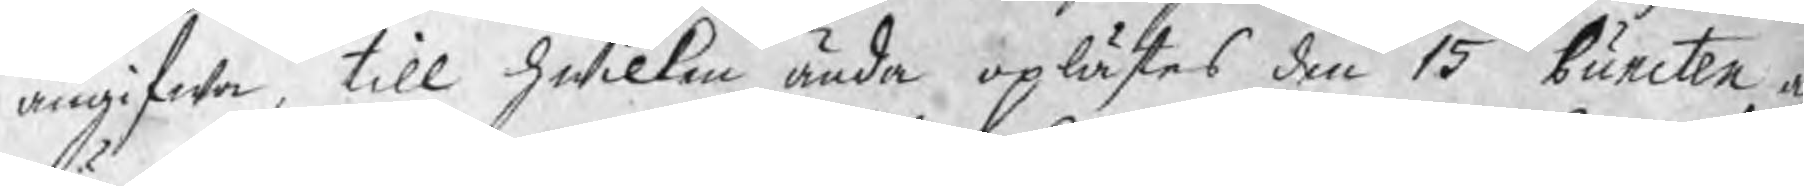angifwa, till hwilken ända oplästes den 15 Puncten a
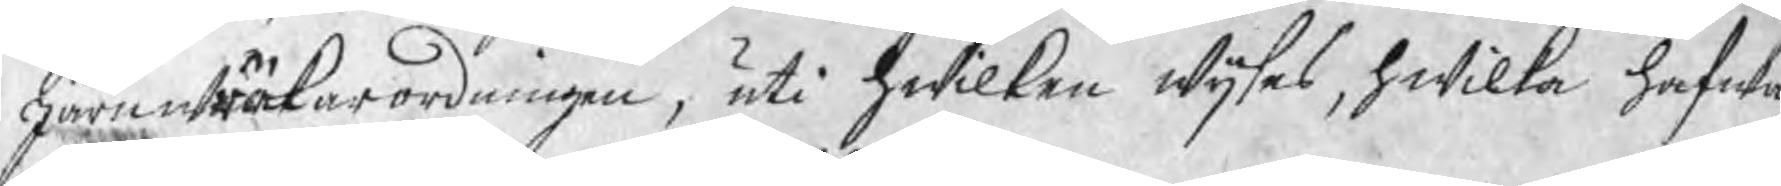järnwräkarordningen, uti hwilken wijsas, hwilka hafwa
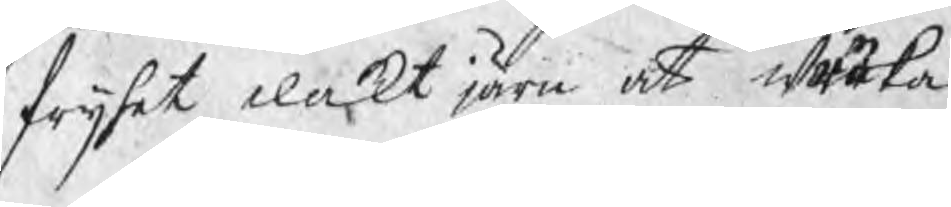frijhet elackt järn at wräka.
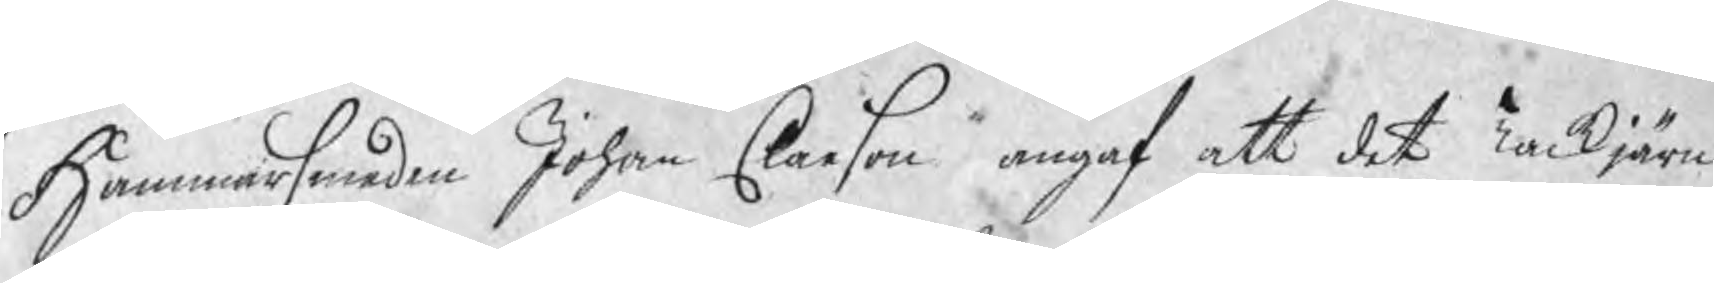Hammarsmeden Johan Claeson angaf att det Tackjärn
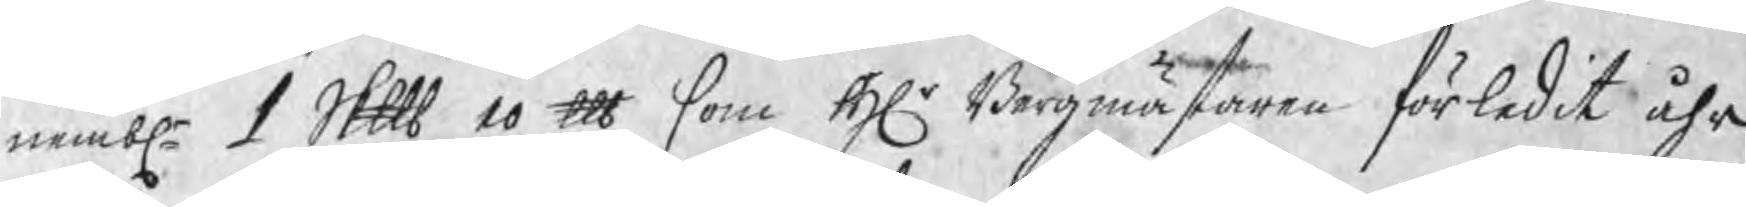nembl 1 Skp 10 ℔ som Hr Bergmästaren förledit åhr
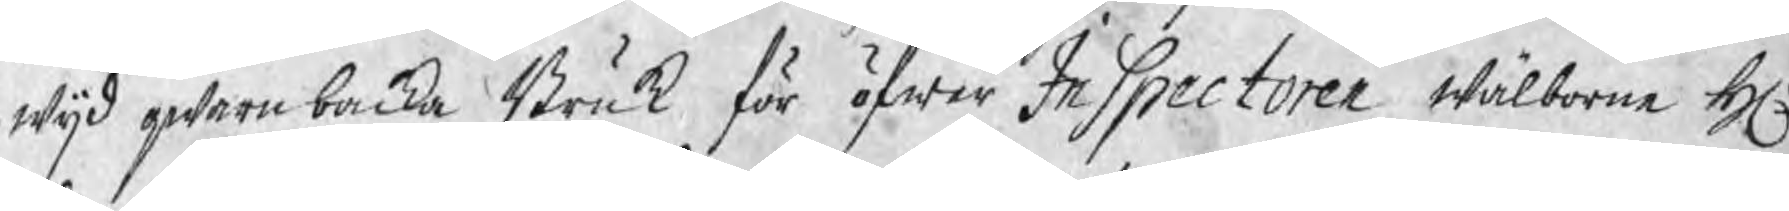wijd qwarnbacka Bruk för öfwer Inspectoren wälborne Hr
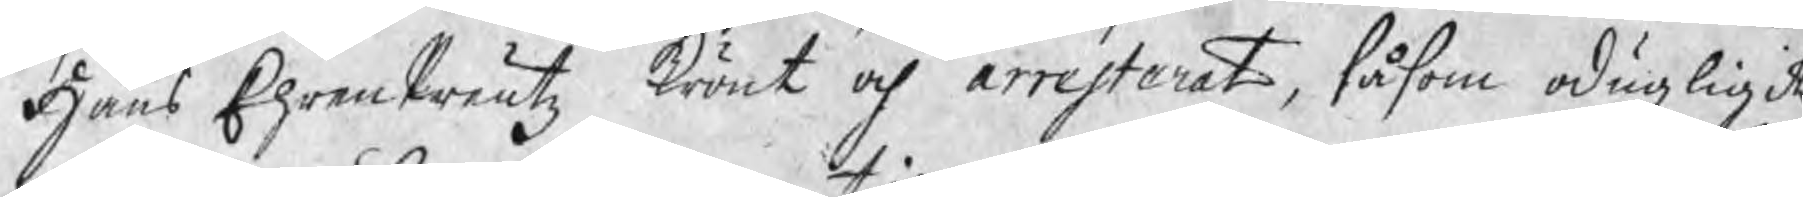Hans EhrenPreutz krönt och arresterat, såsom odugligit,
